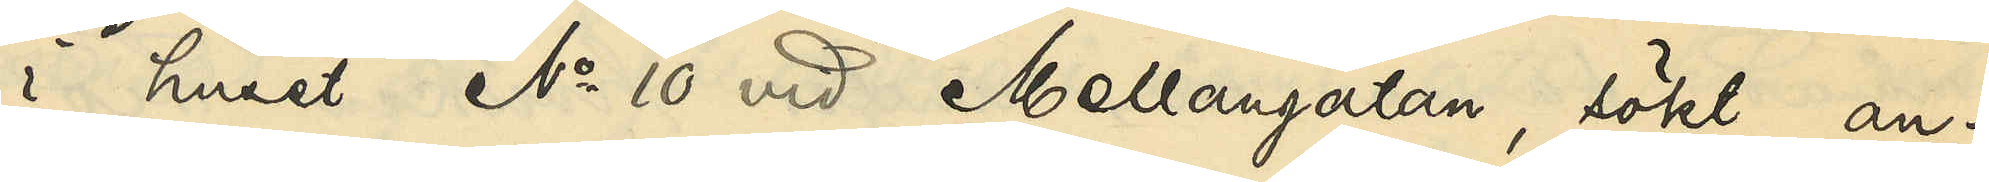i huset No 10 vid Mellangatan, sökt an¬
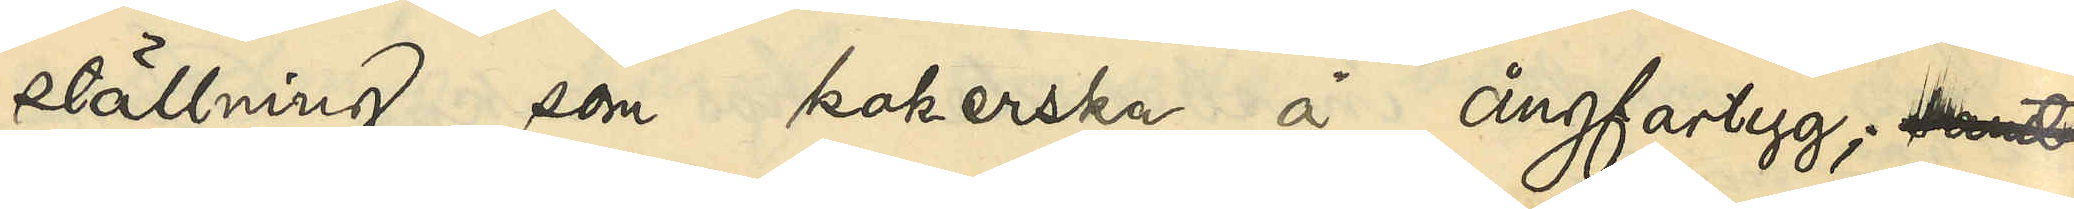ställning som kokerska å ångfartyg; samt
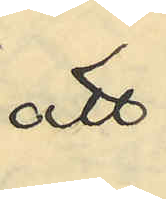att
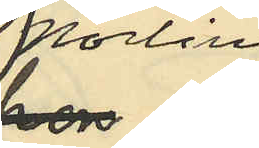Norling
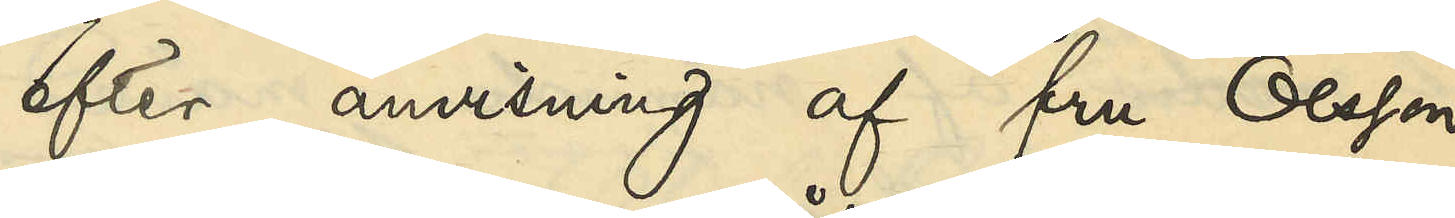efter anvisning af fru Olsson
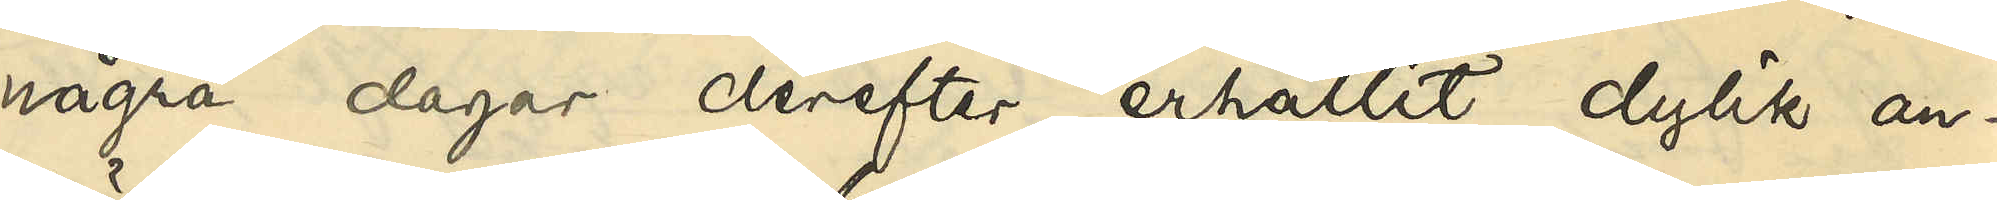några dagar derefter erhållit dylik an¬
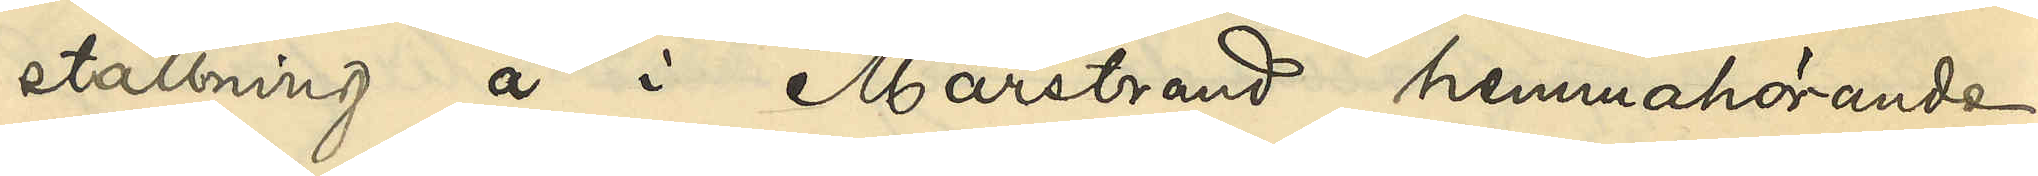ställning å i Marstrand hemmahörande
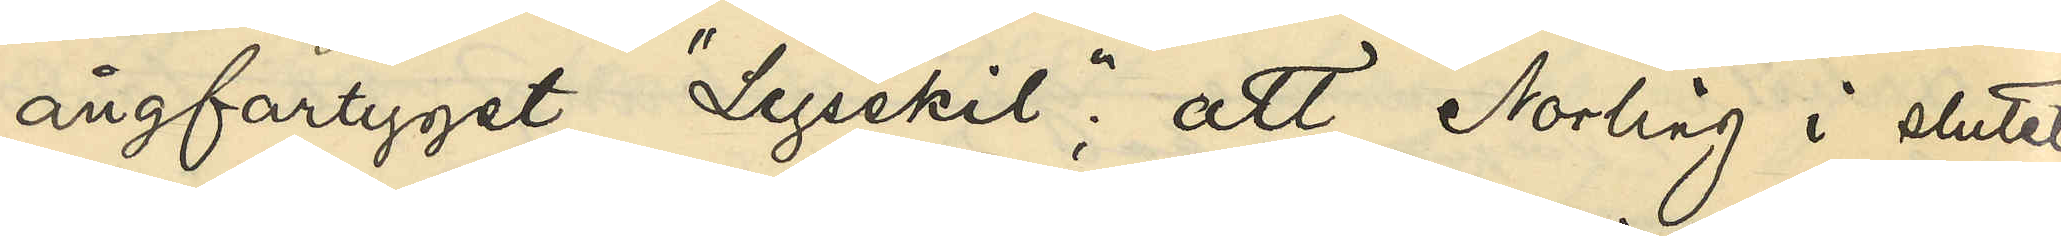ångfartyget "Lysekil"; att Norling i slutet
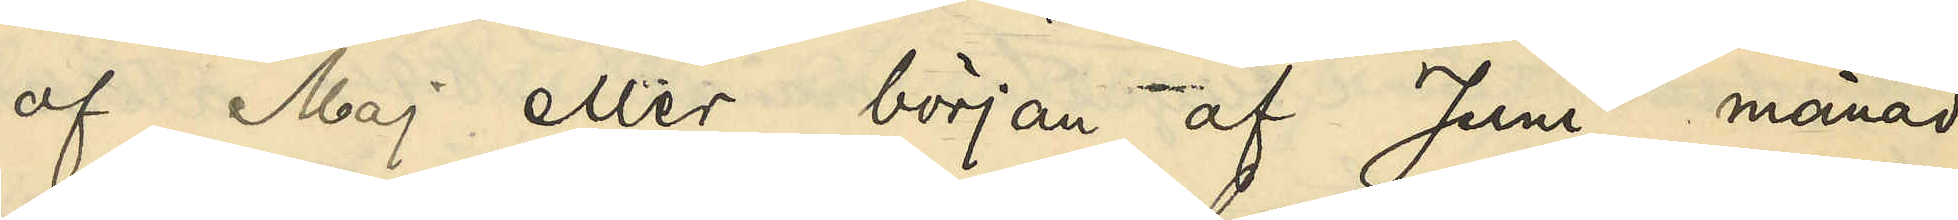af Maj eller början af Juni månad
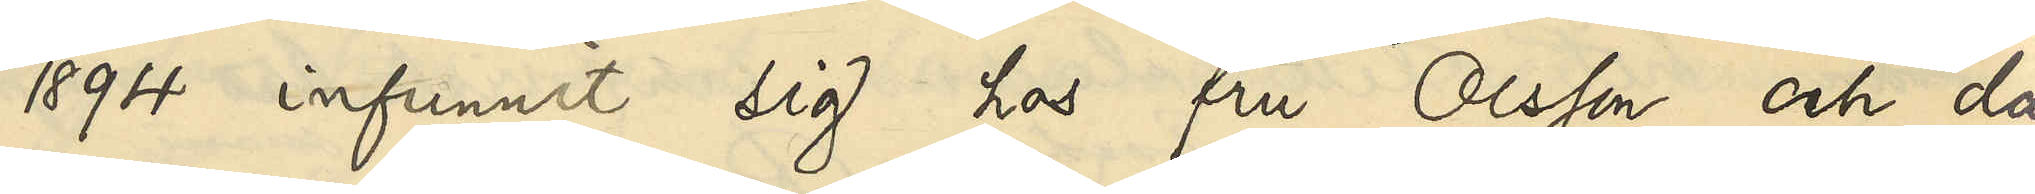1894 infunnit sig hos fru Olsson och då
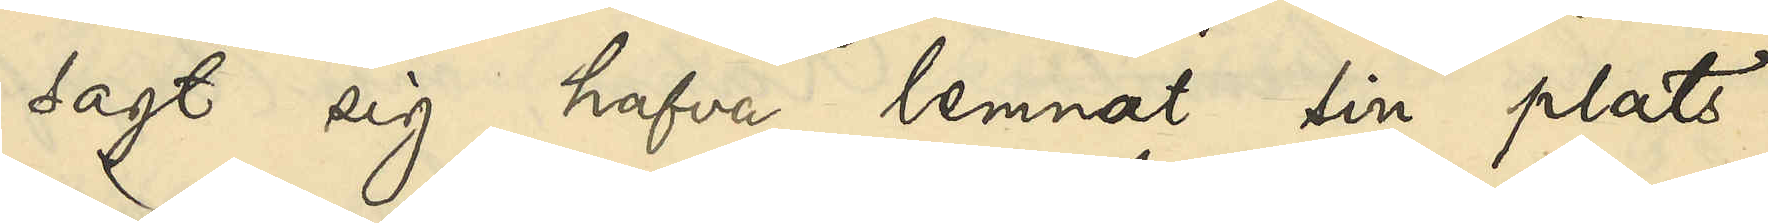sagt sig hafva lemnat sin plats
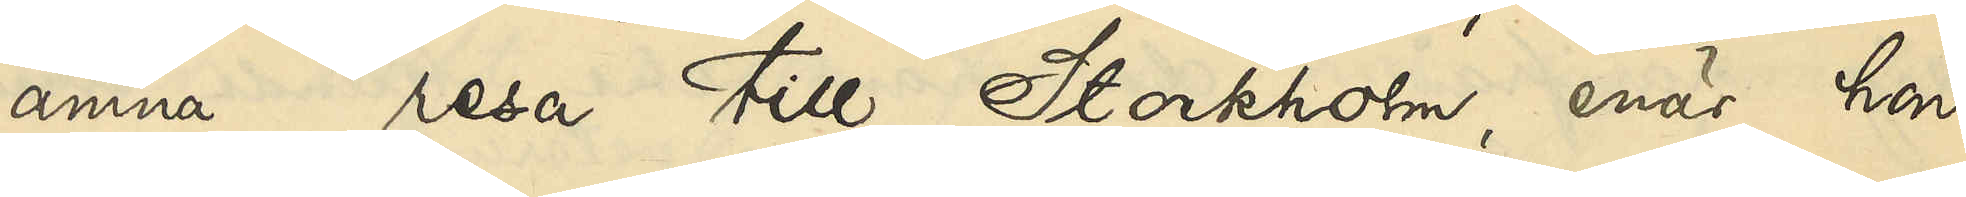ämna resa till Stockholm, enär hon
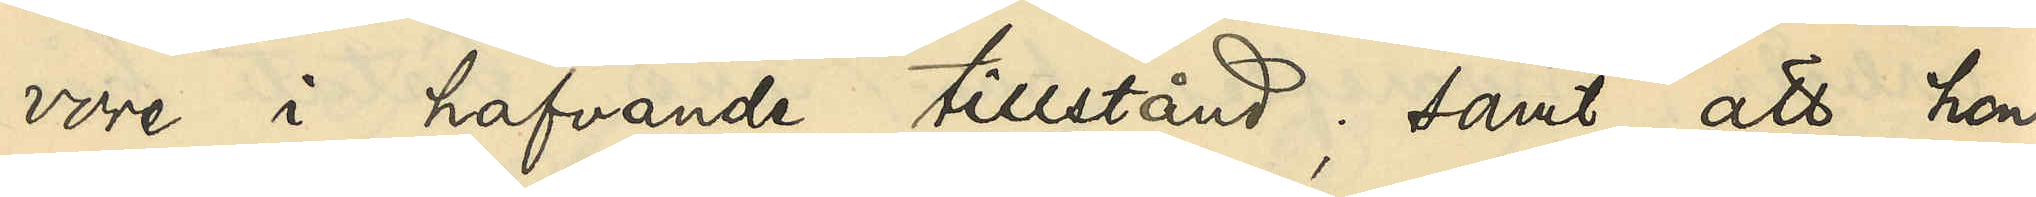vore i hafvande tillstånd; samt att hon
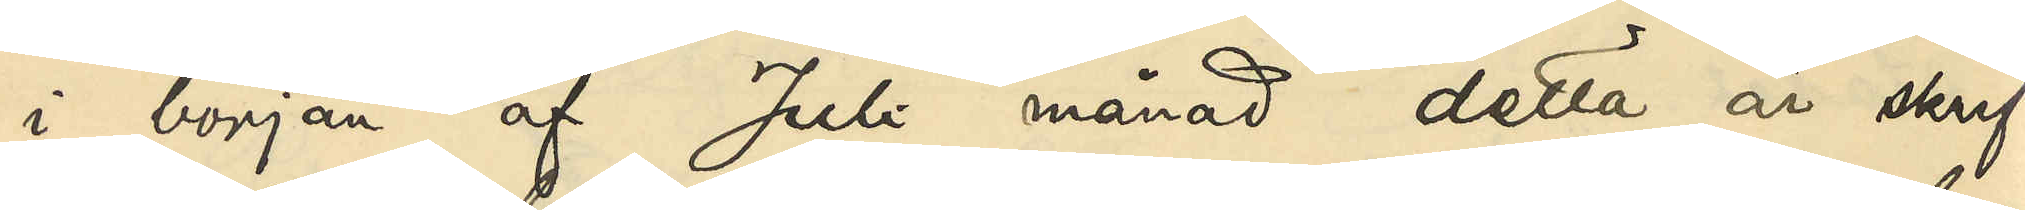i början af Juli månad detta år skrif¬
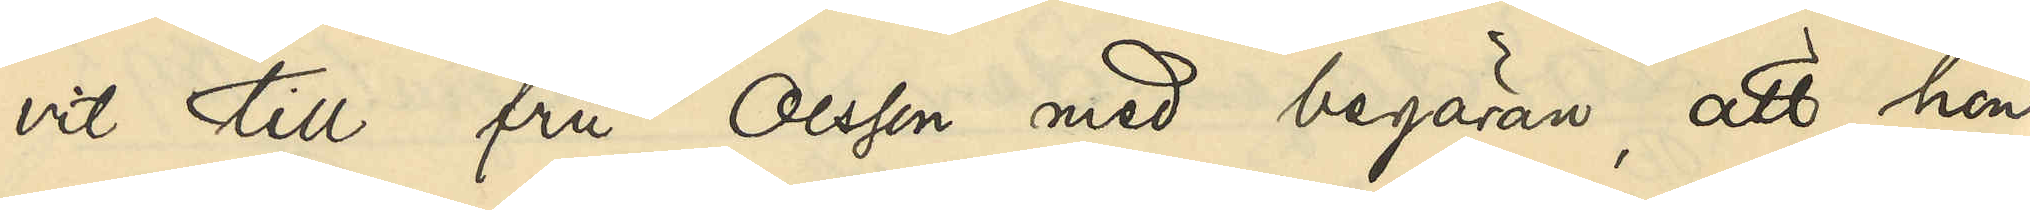vit till fru Olsson med begäran att hon
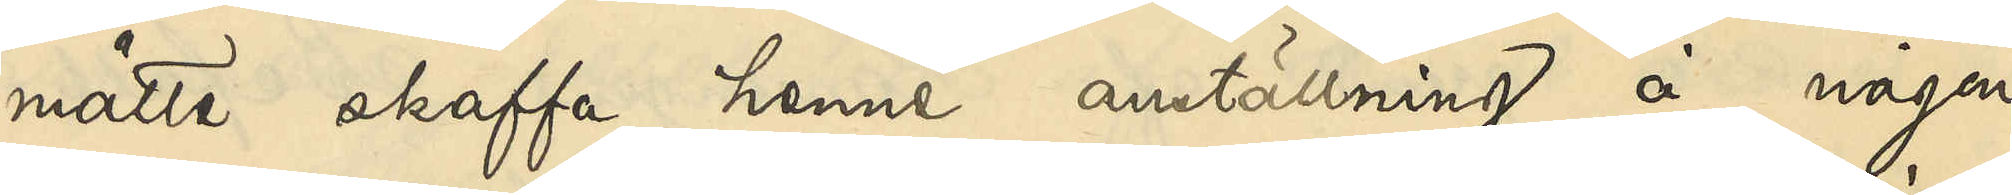måtte skaffa henne anställning å någon
